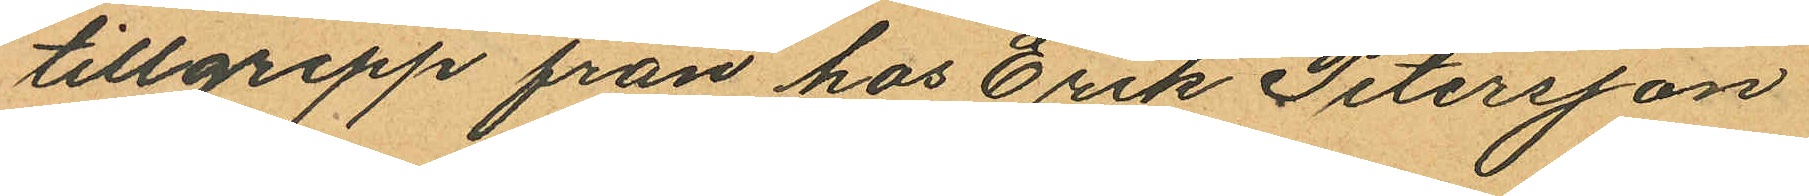tillgrepp från hos Erik Petersson
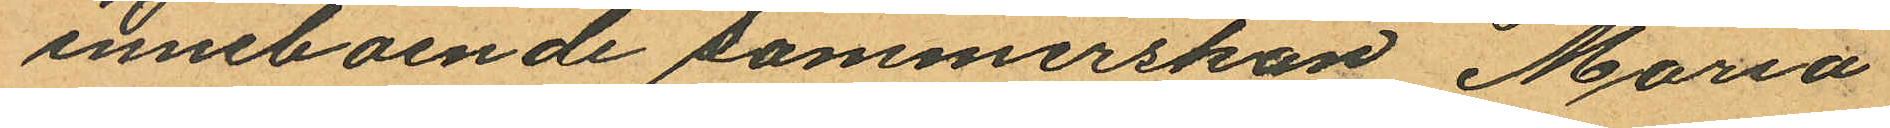inneboende sömmerskan Maria
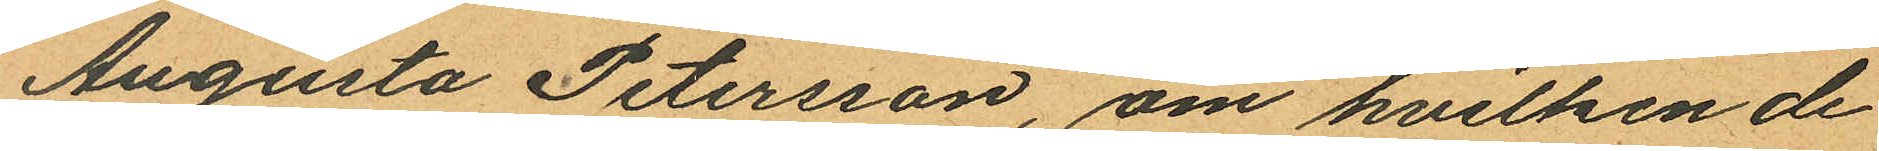Augusta Petersson, om hvilken de
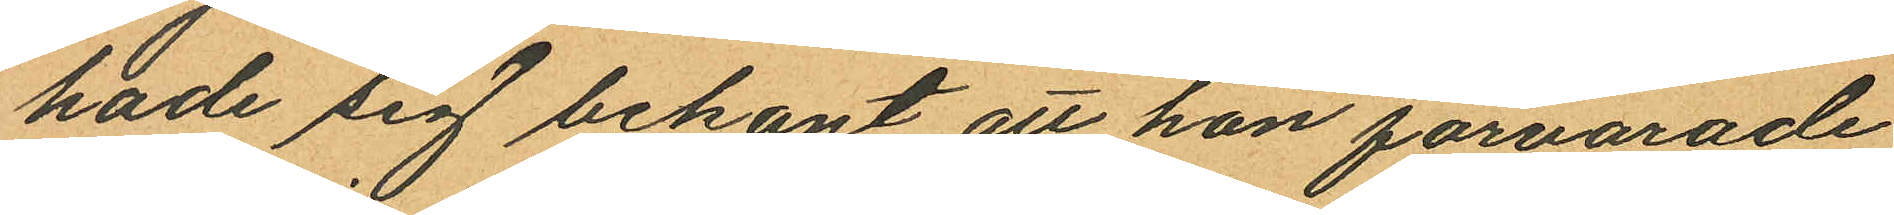hade sig bekant att hon förvarade
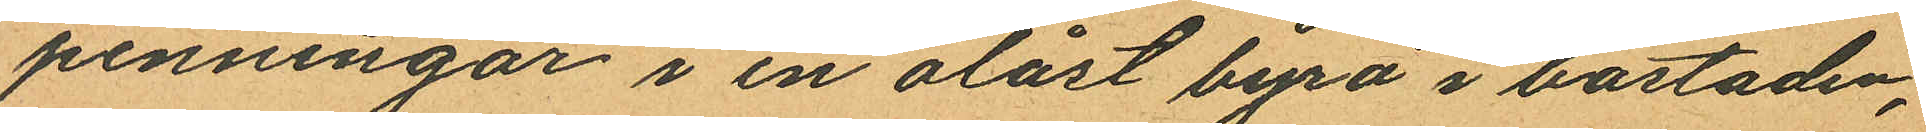penningar i en olåst byrå i bostaden;
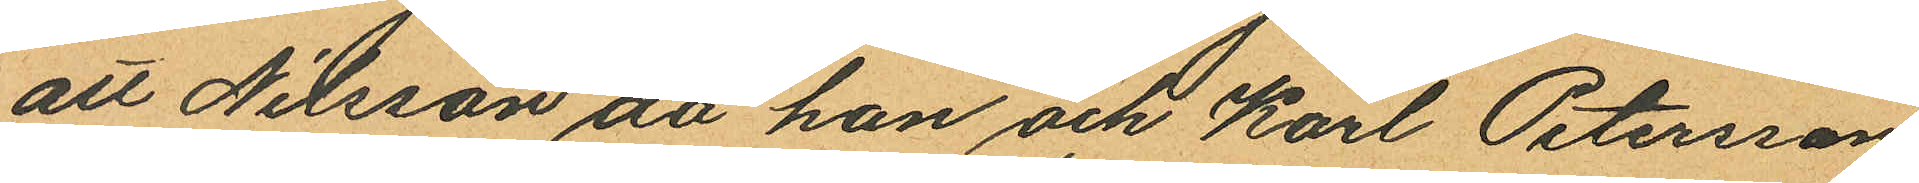att Nilsson då han och Karl Petersson
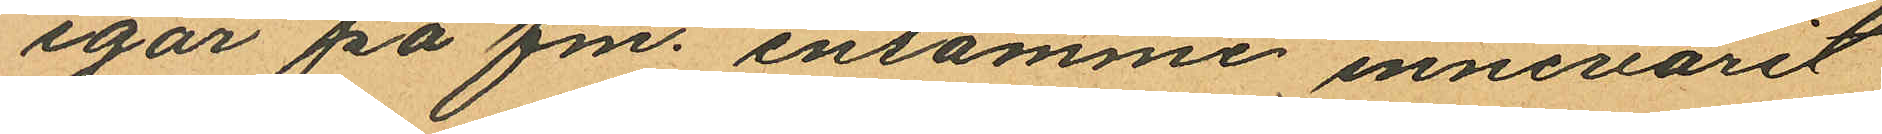igår på fm. ensamme innevarit
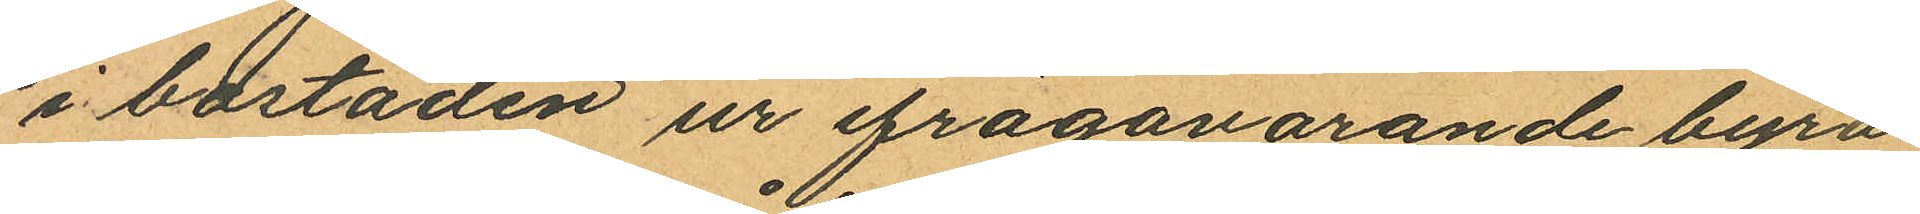i bostaden ur ifrågavarande byrå
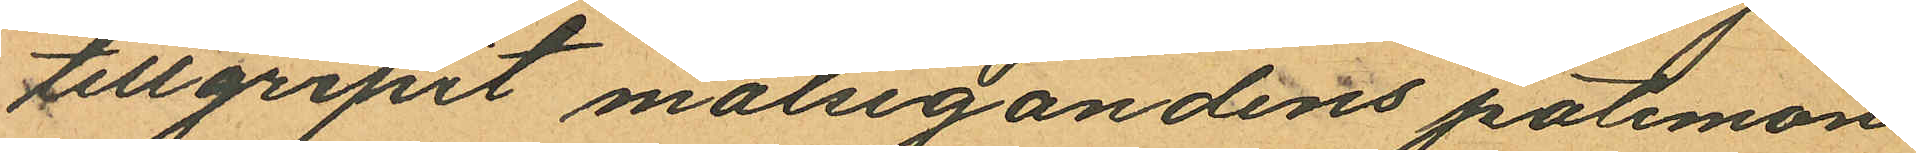tillgripit målsegandens portemon
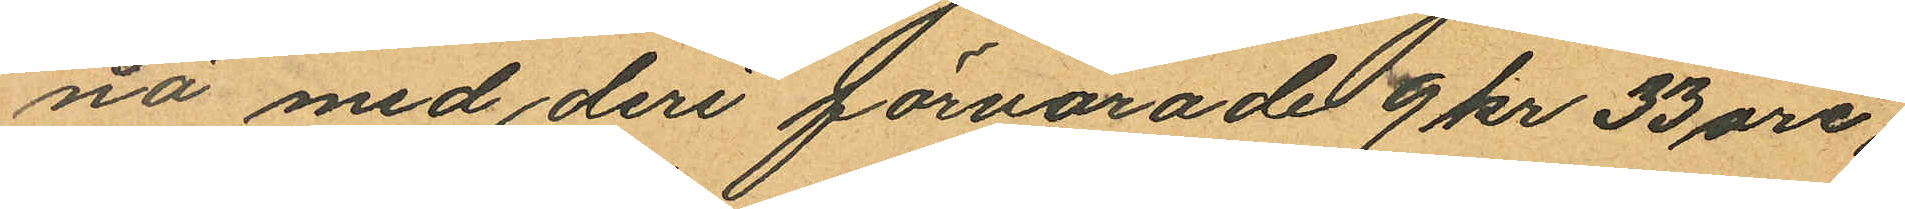nä med deri förvarade 9 kr 33 öre,
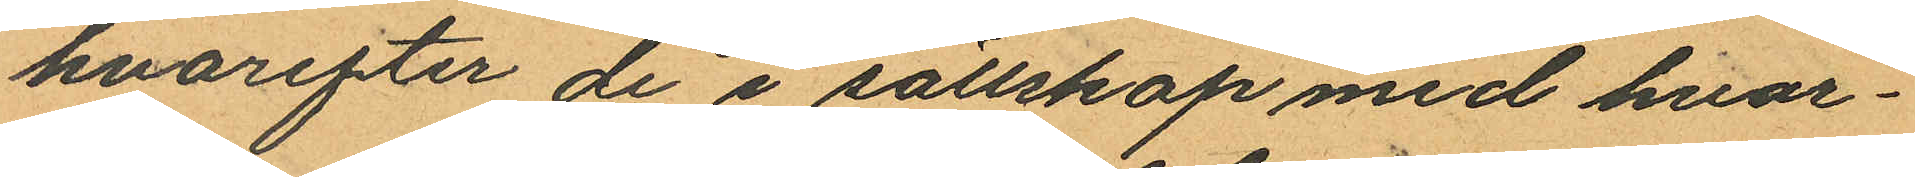hvarefter de i sällskap med hvar¬
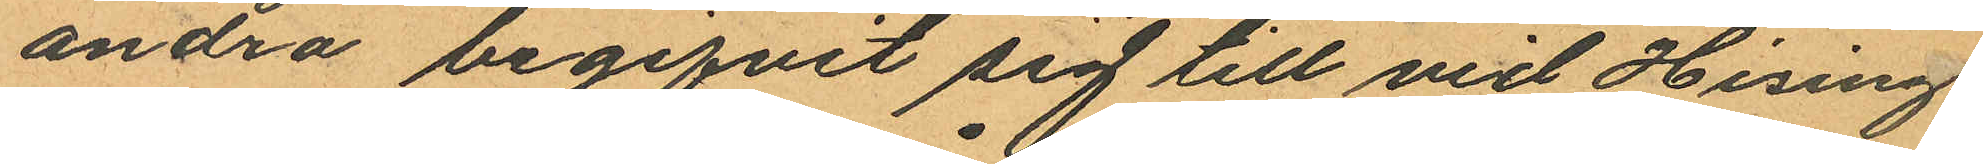andra begifvit sig till vid Hisings
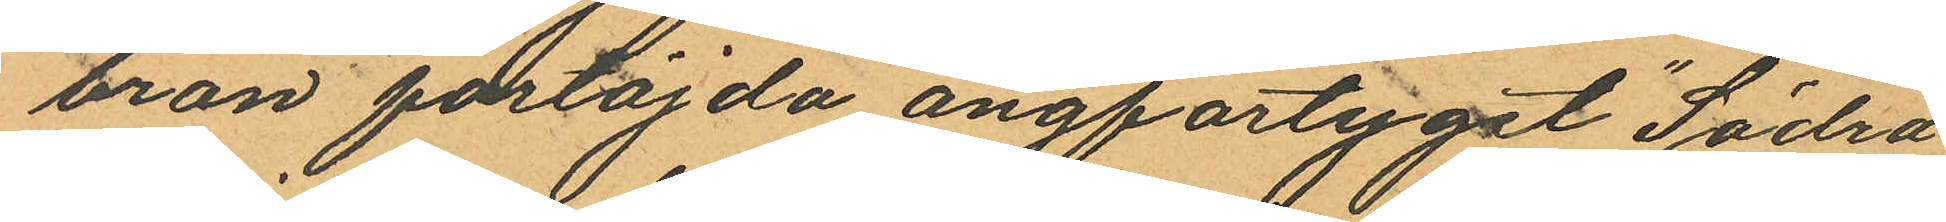bron förtöjda ångfartyget "Södra
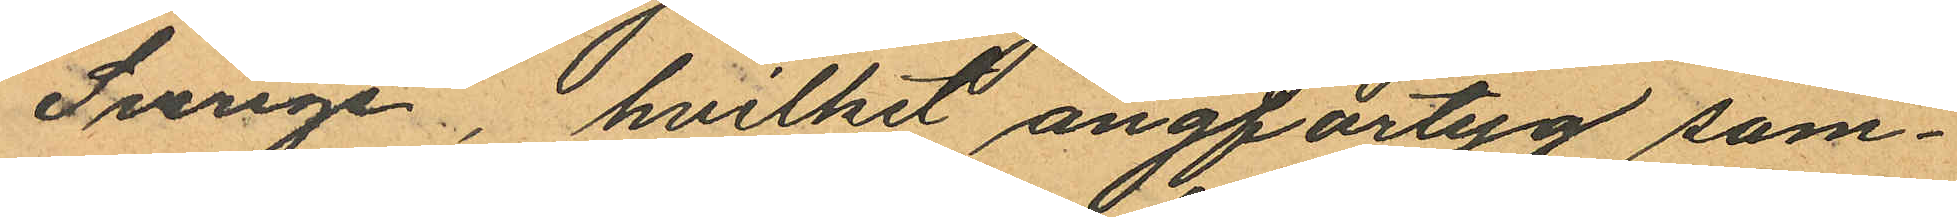Sverige", hvilket ångfartyg sam¬
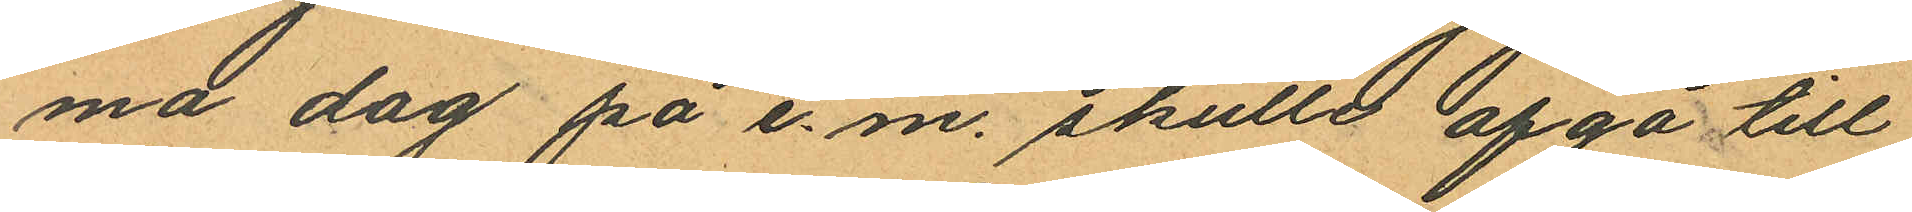ma dag på e. m. skulle afgå till
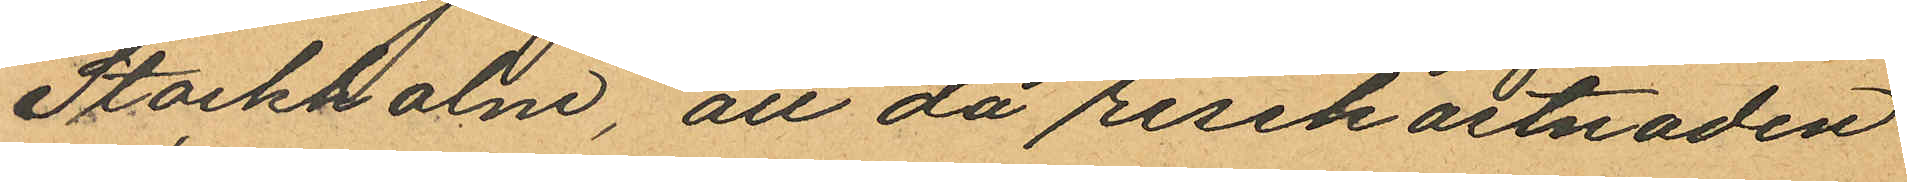Stockholm, att då resekostnaden
